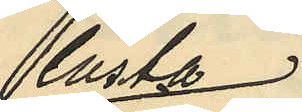låsta
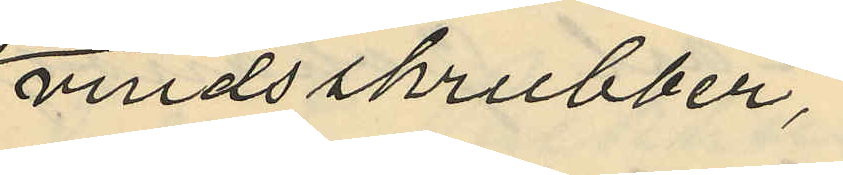vindsskrubber,
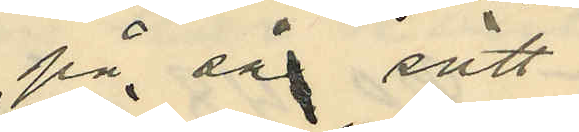på så sätt
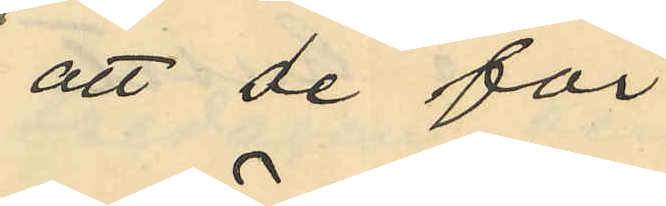att de för
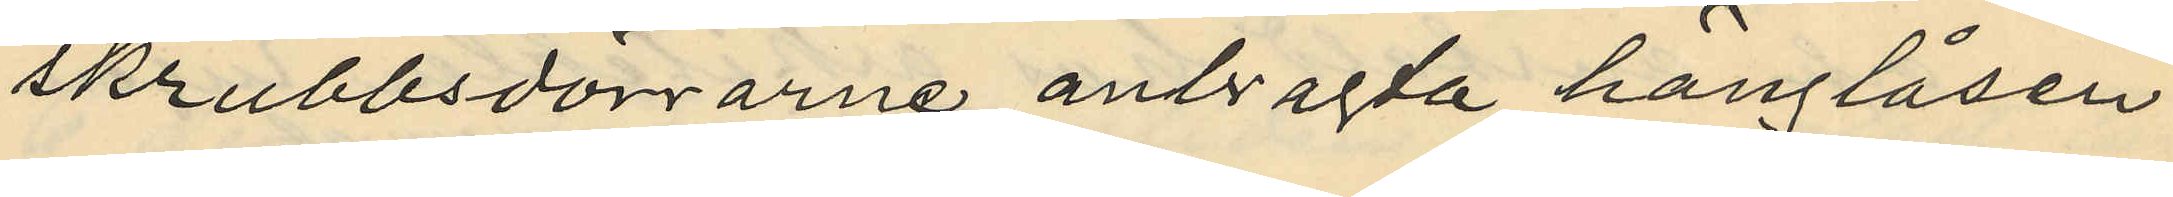skrubbsdörrarne anbragta hänglåsen
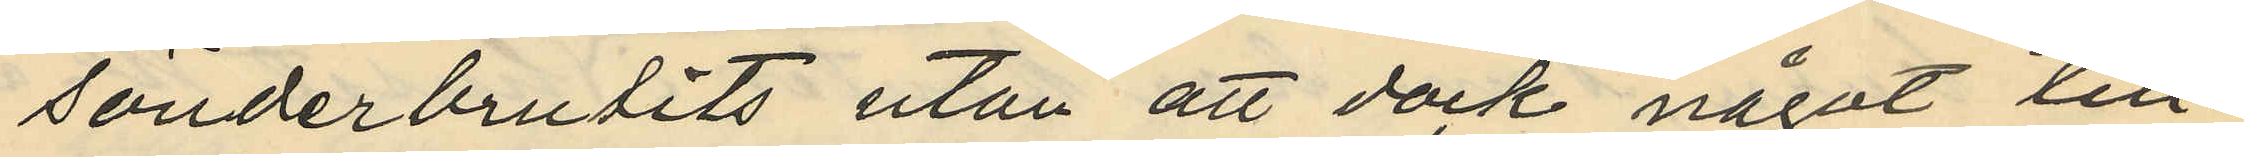sönderbrutits utan att dock något till¬
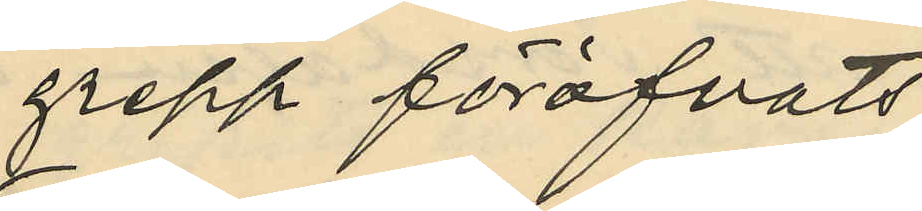grepp föröfvats;
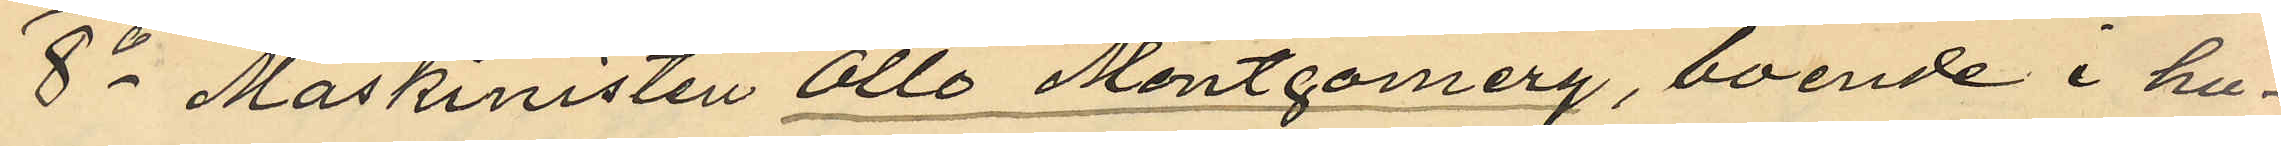8o Maskinisten Otto Montgomery, boende i hu¬
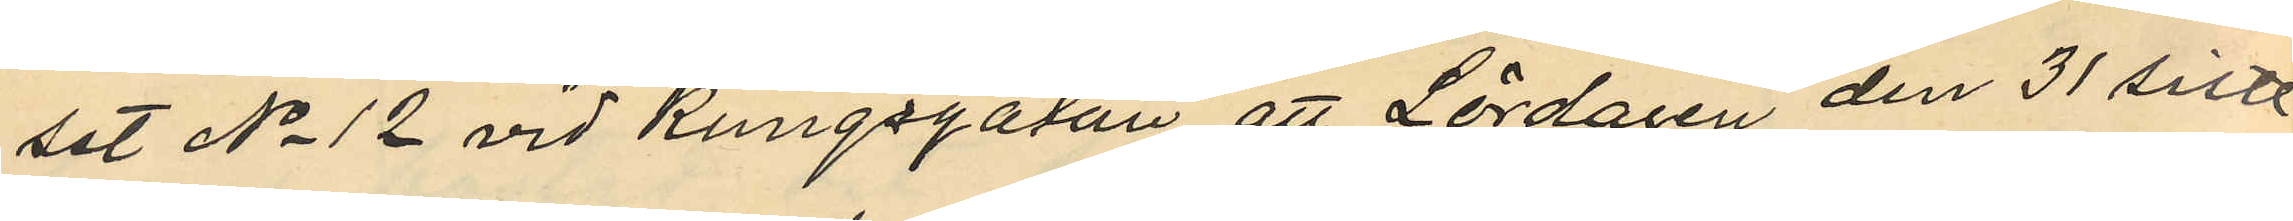set No 12 vid Kungsgatan att Lördagen den 31 sistl.
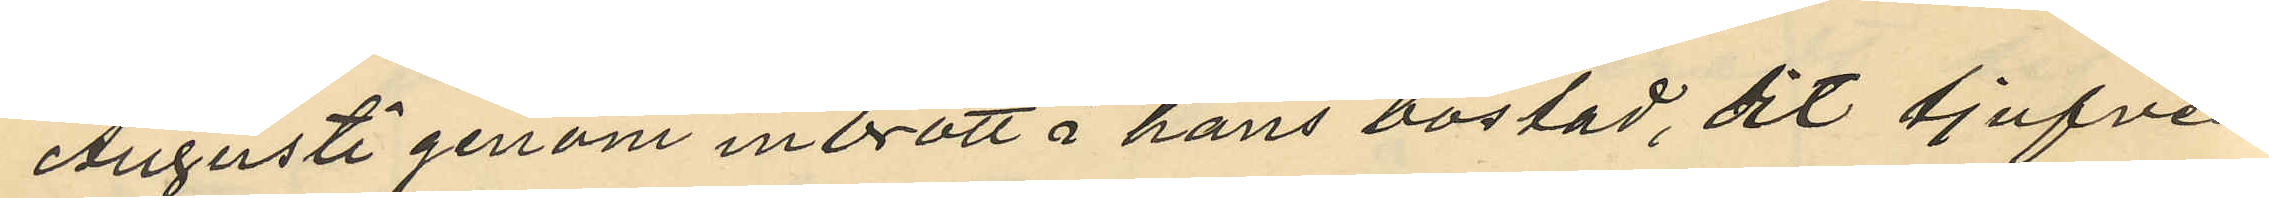Augusti genom inbrott i hans bostad, dit tjufven
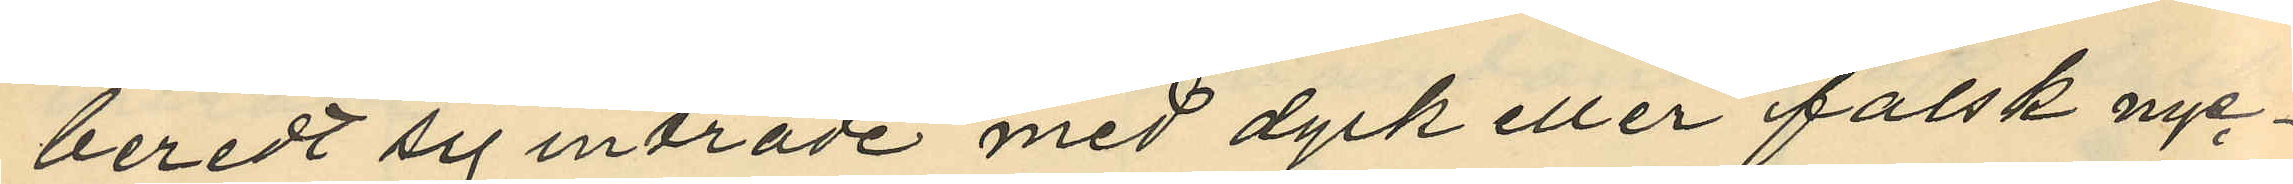beredt sig inträde med dyrk eller falsk nyc¬
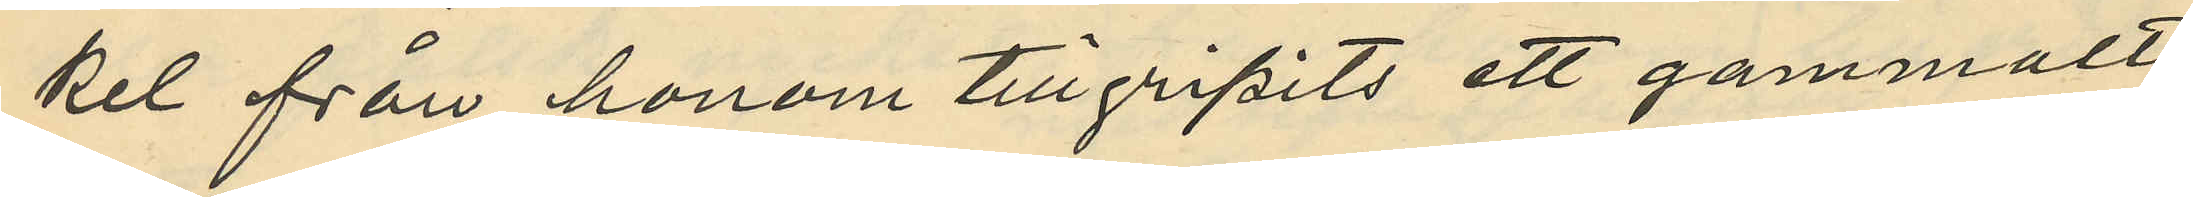kel från honom tillgripits ett gammalt
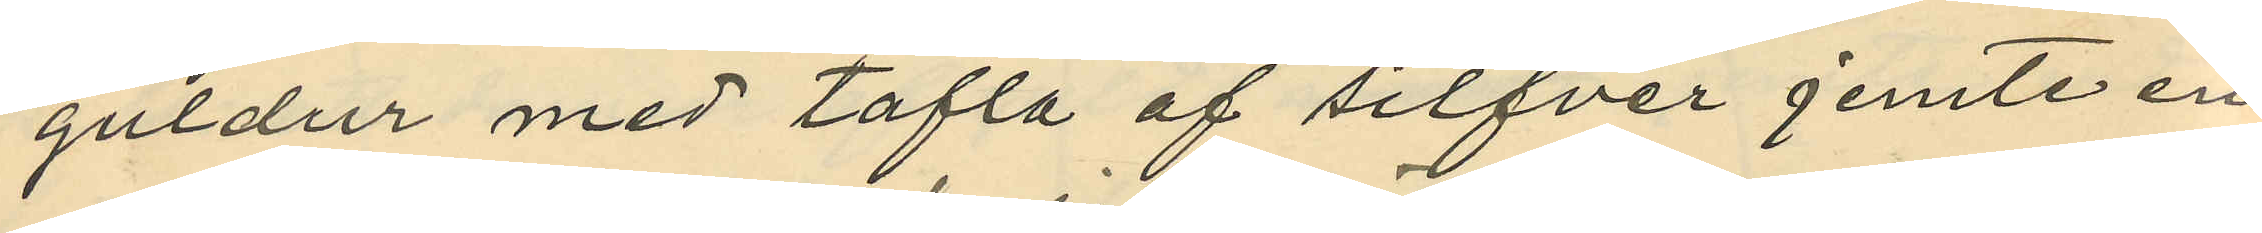guldur med tafla af silfver jemte en
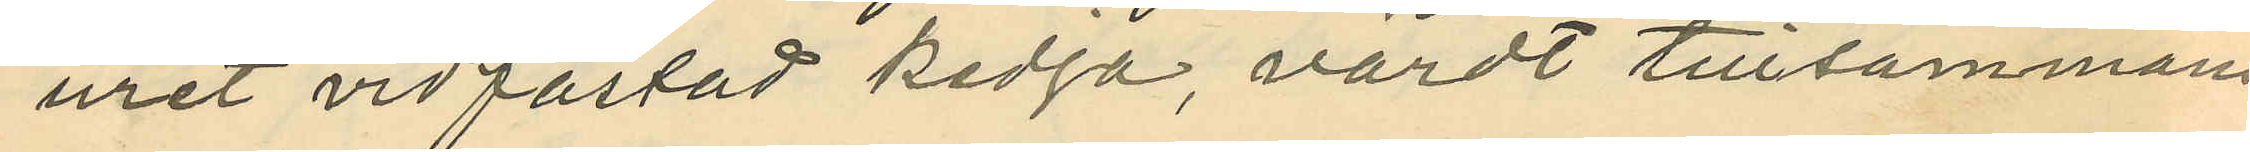uret vidfästad kedja, värdt tillsammans
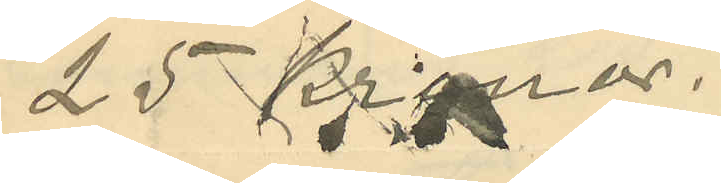25 Kronor.
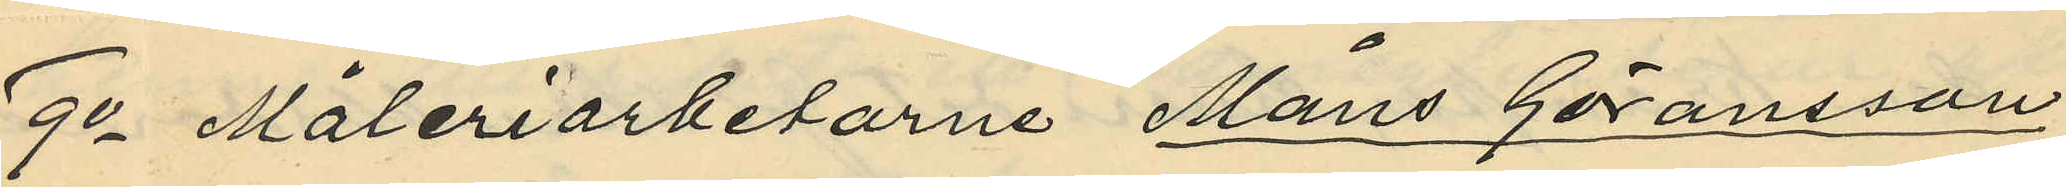9o Måleriarbetarne Måns Göransson
